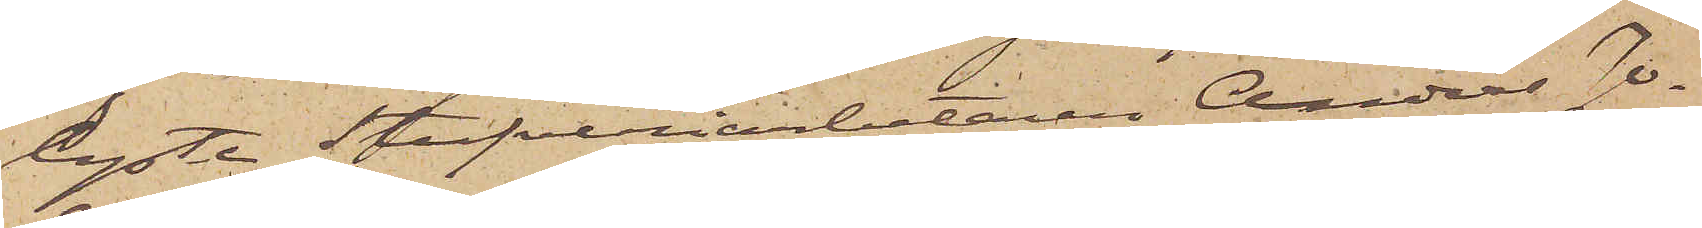lyste Stufveriarbetaren Anders Jo¬
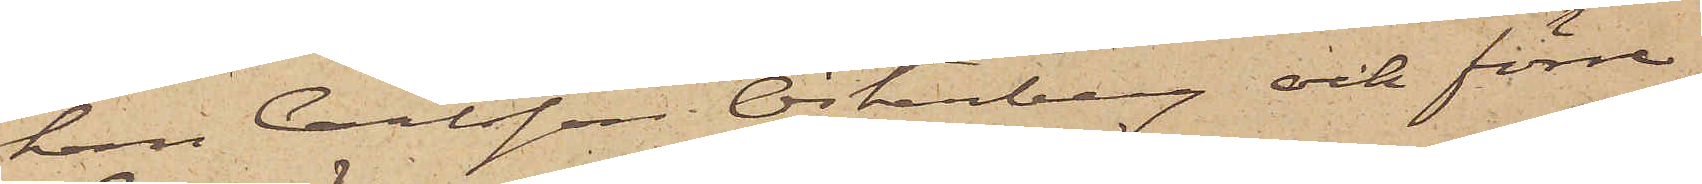han Carlsson Österberg och förre
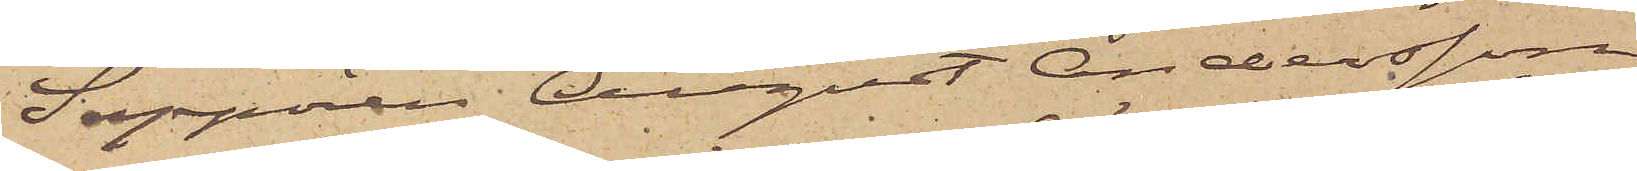Sappören August Andersson
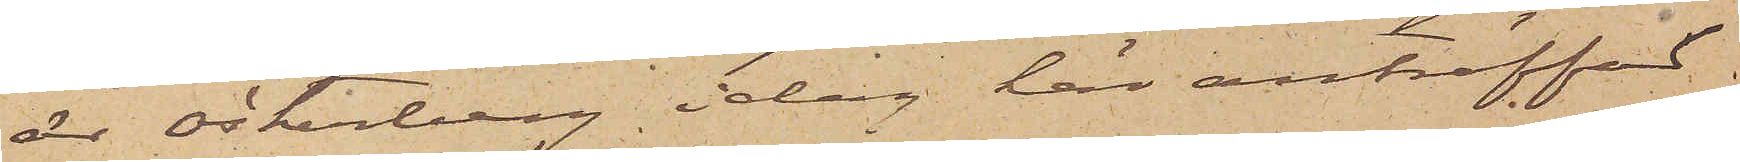är Österberg i dag här anträffad
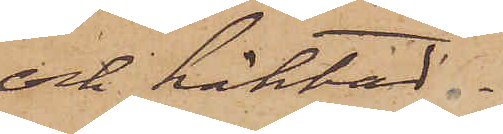och häktad.
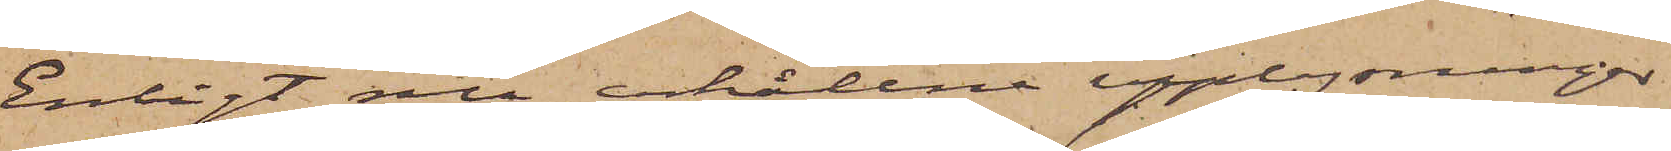Enligt nu erhållne upplysningar
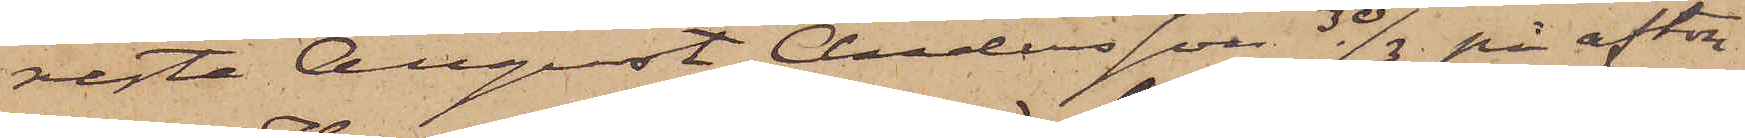reste August Andersson 30/3 på afton
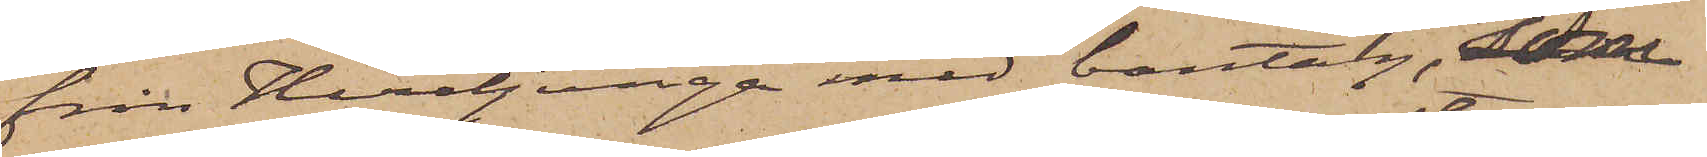från Herrljunga med bantåg, som
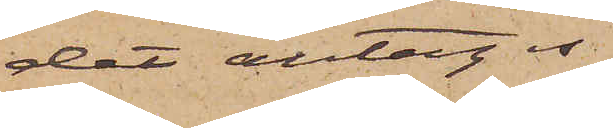det antages
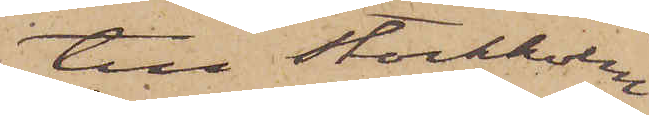till Stockholm
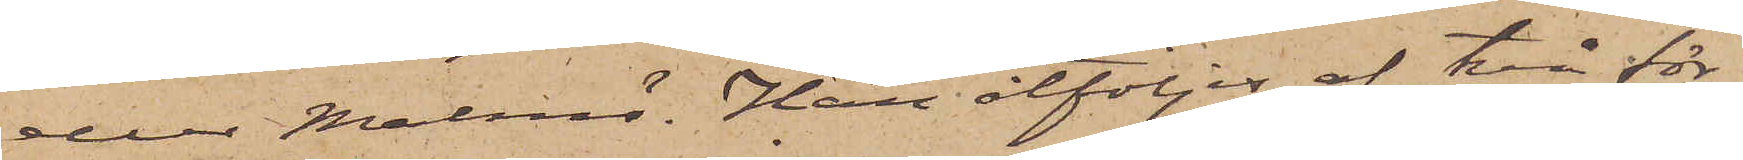eller Malmö. Han åtföljes af två för
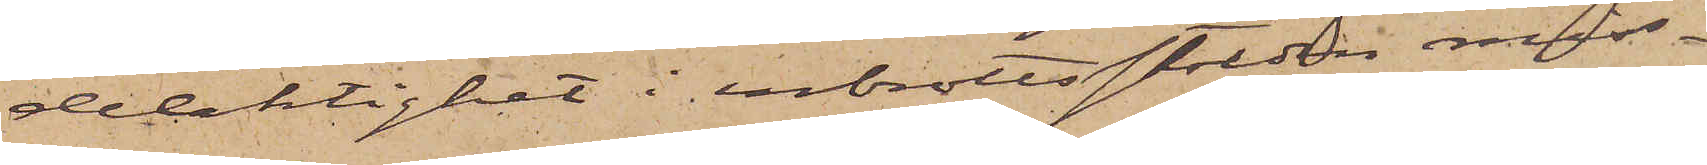delaktighet i inbrottsstölden miss¬
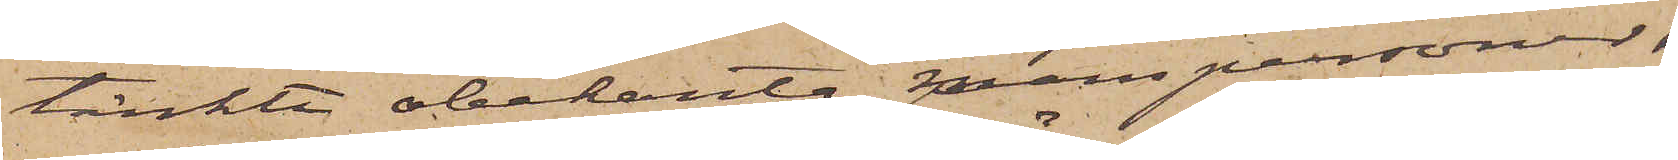tänkte obekanta manspersoner,
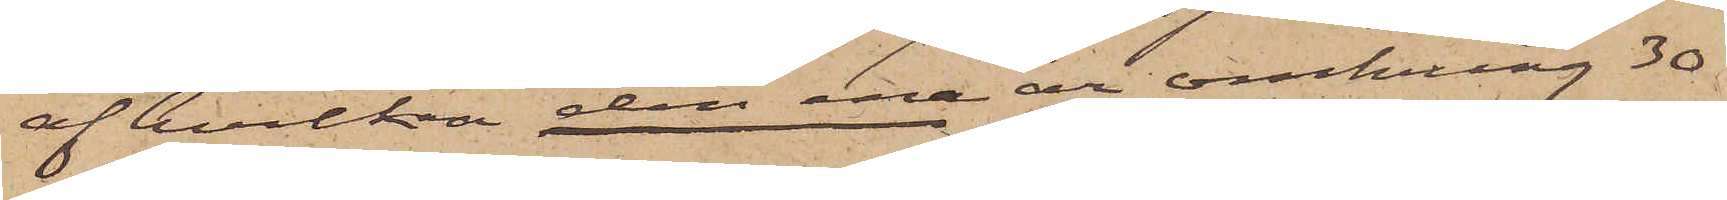af hvilka den ene är omkring 30
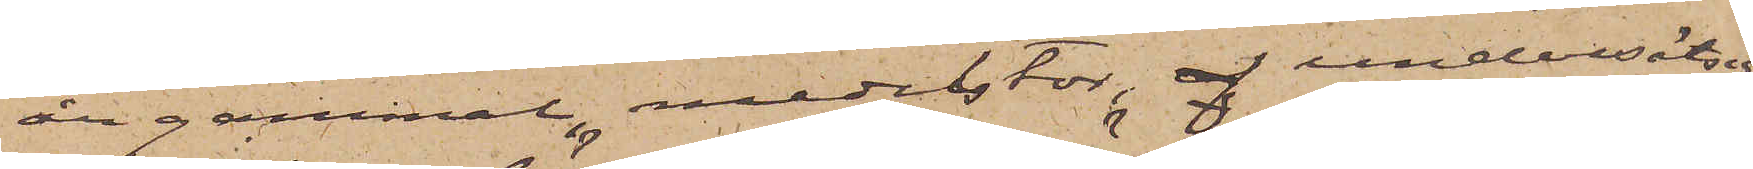år gammal, medelstor, af undersätsig
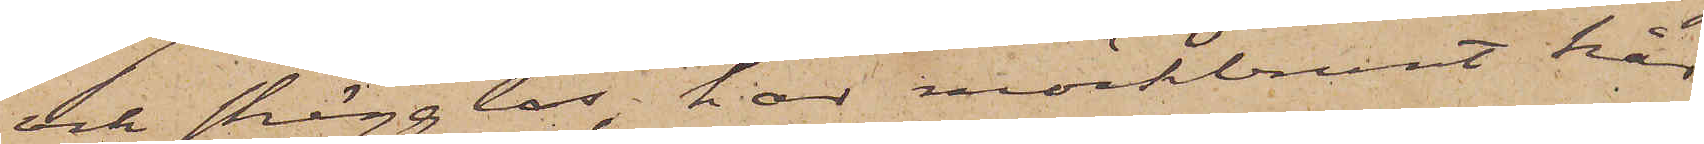och skägglös, har mörkbrunt hår
